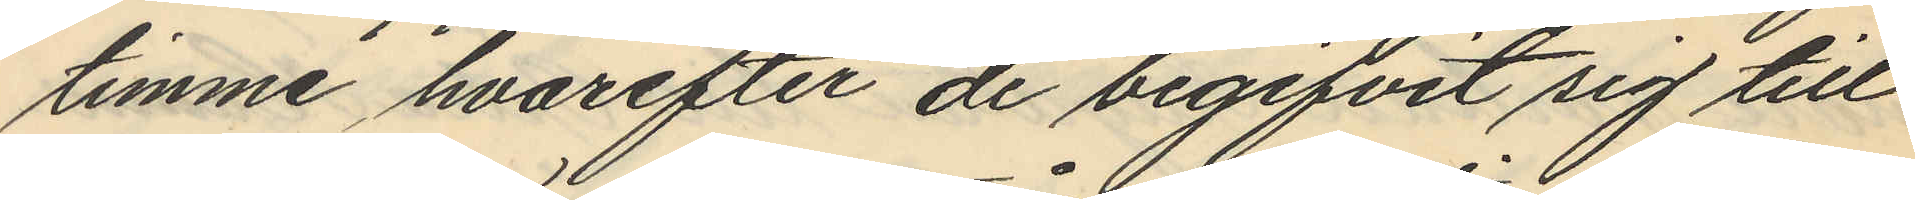timme hvarefter de begifvit sig till
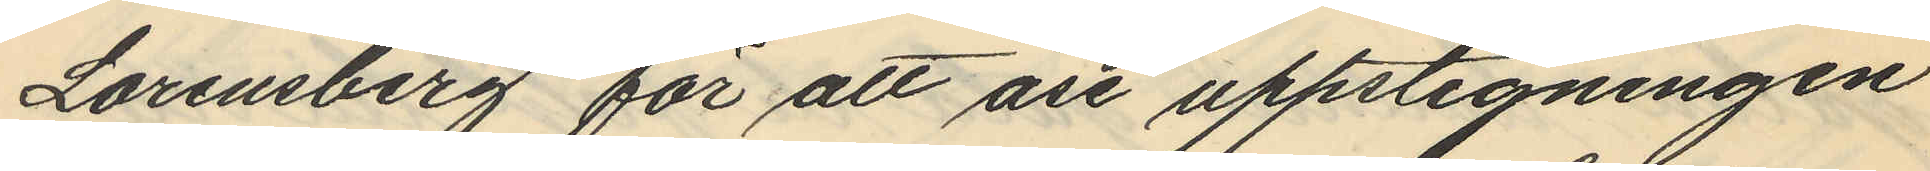Lorensberg för att åse uppstigningen
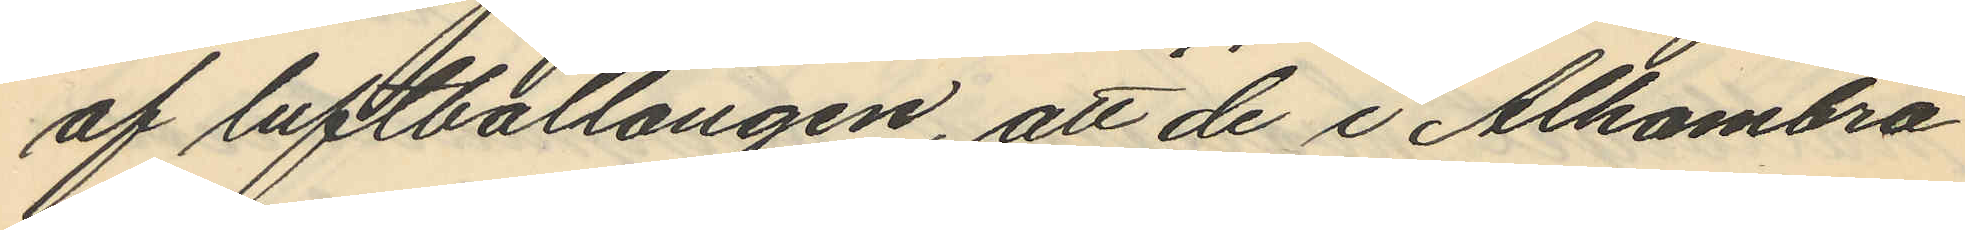af luftballongen, att de i Alhambra
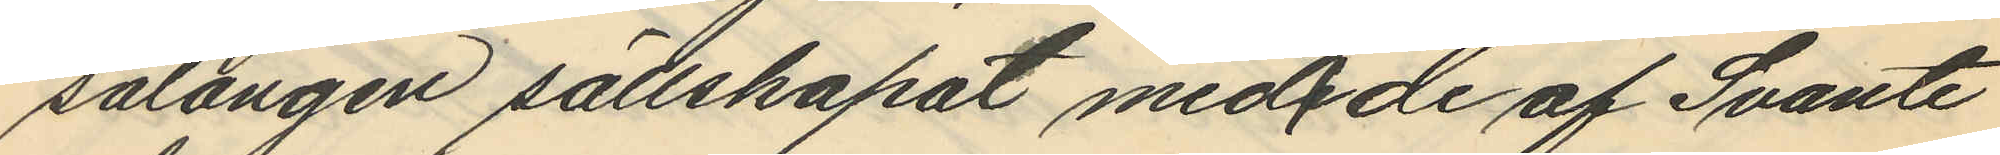salongen sällskapat med de af Svante
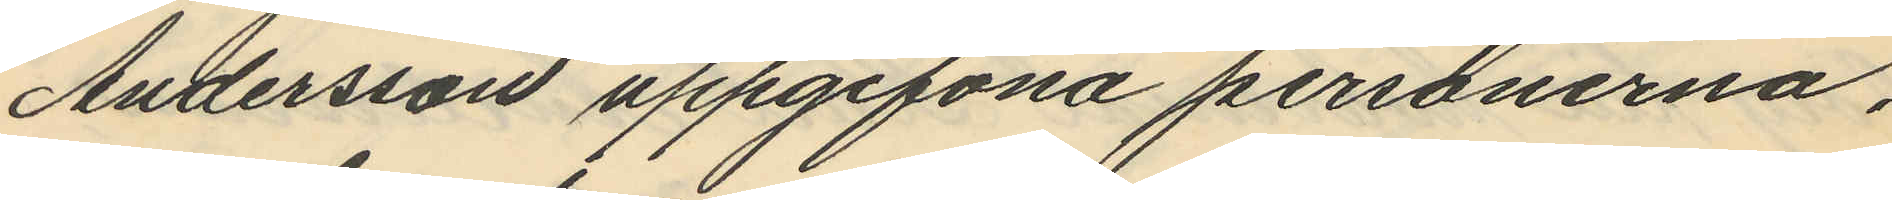Andersson uppgifvna personerna,
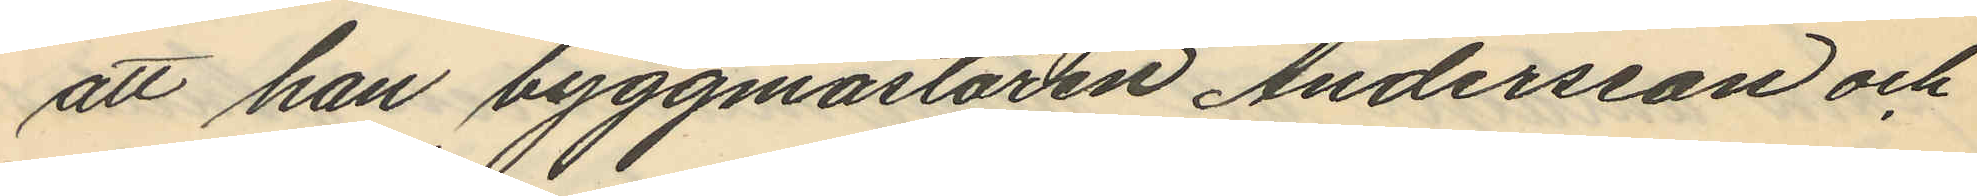att han byggmästaren Andersson och
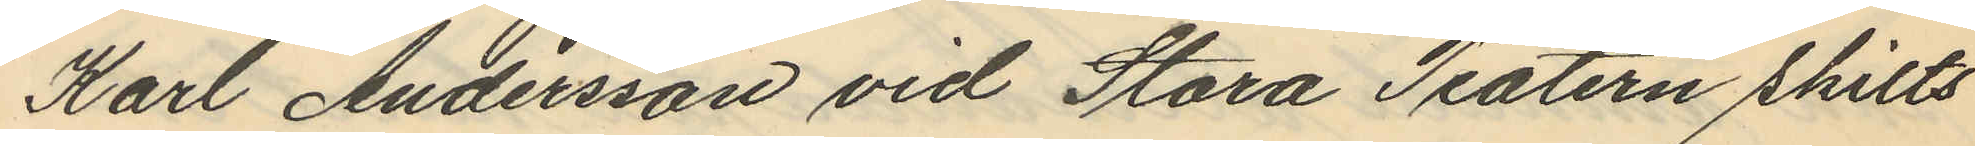Karl Andersson vid Stora Teatern skilts
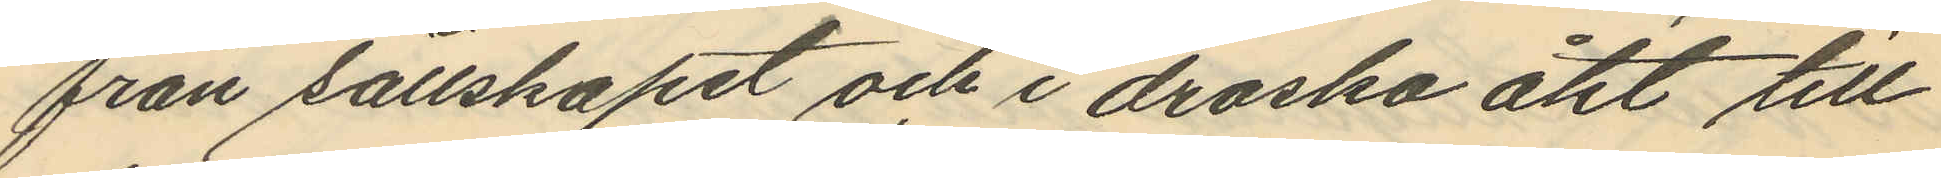från sällskapet och i droska åkt till
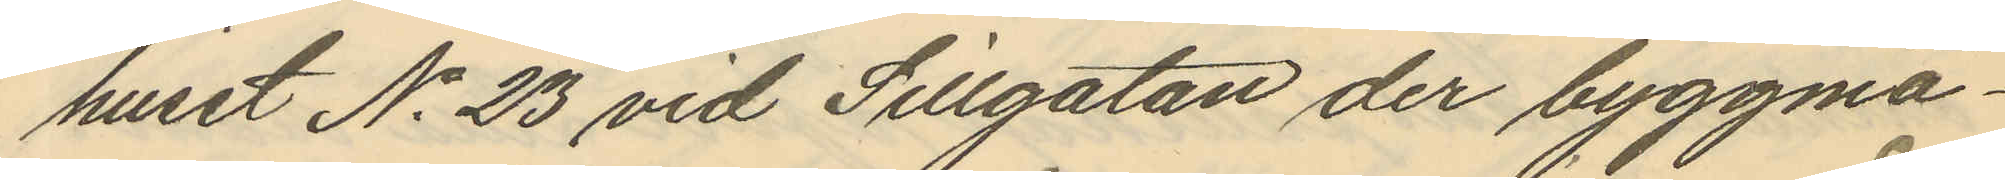huset No 23 vid Sillgatan der byggmä¬
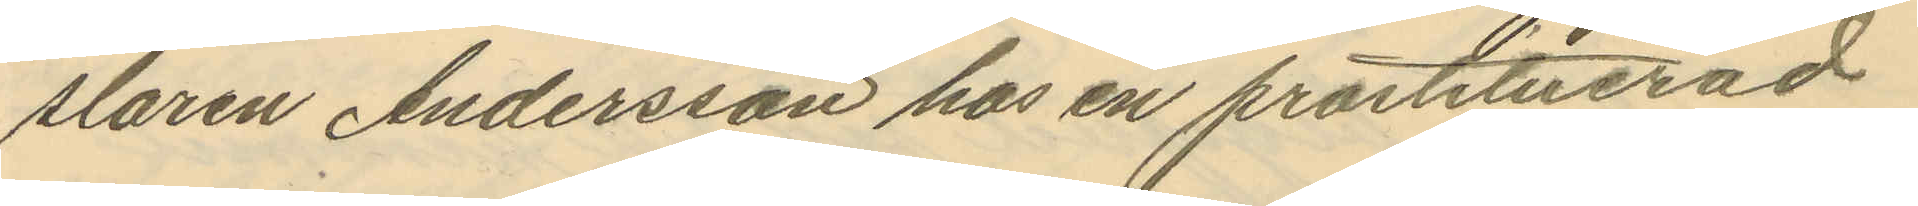staren Andersson hos en prostituerad
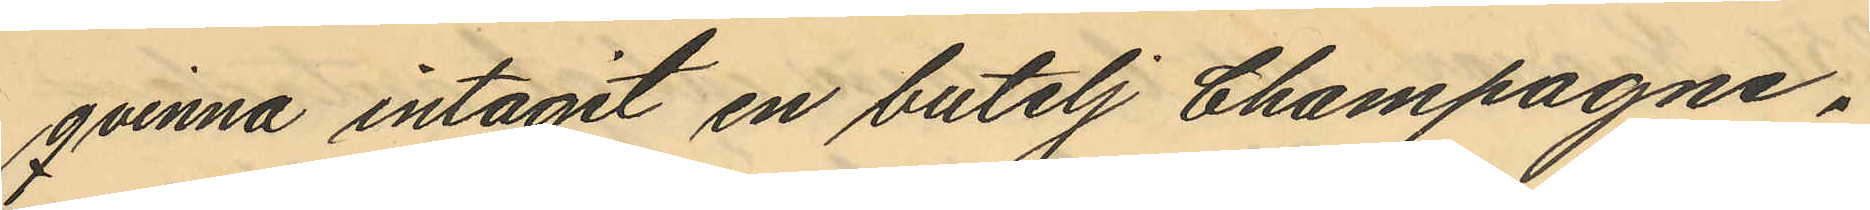qvinna intagit en butelj Champagne,
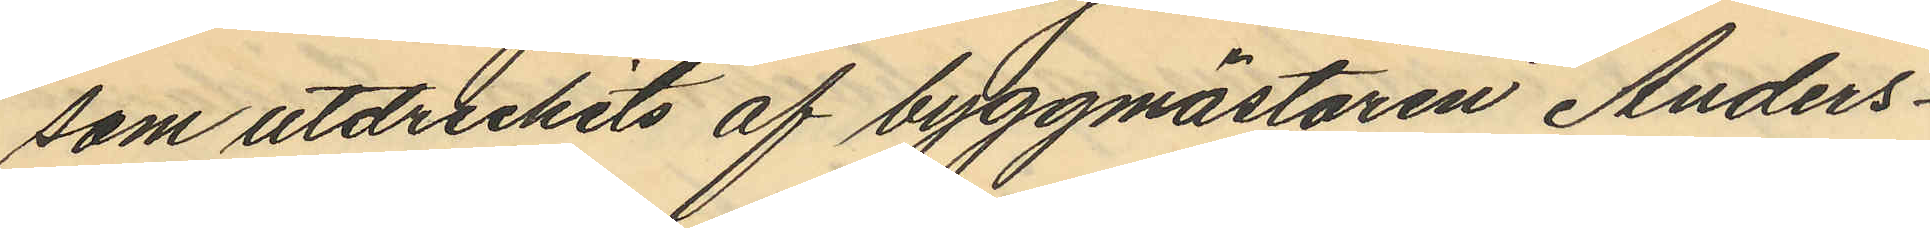som utdruckits af byggmästaren Anders¬
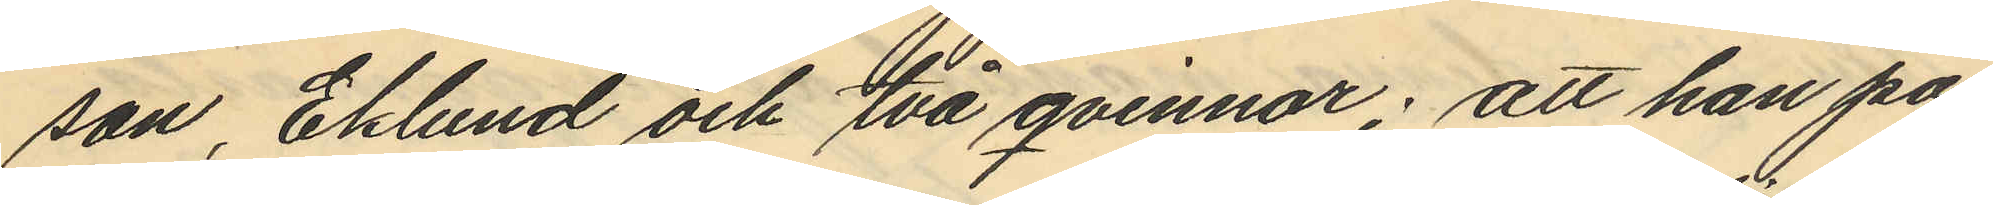son, Eklund och två qvinnor; att han på
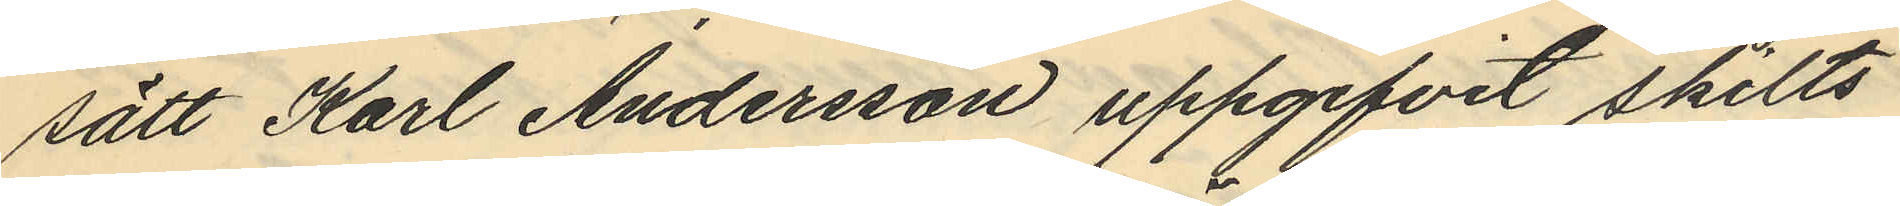sätt Karl Andersson uppgifvit skilts
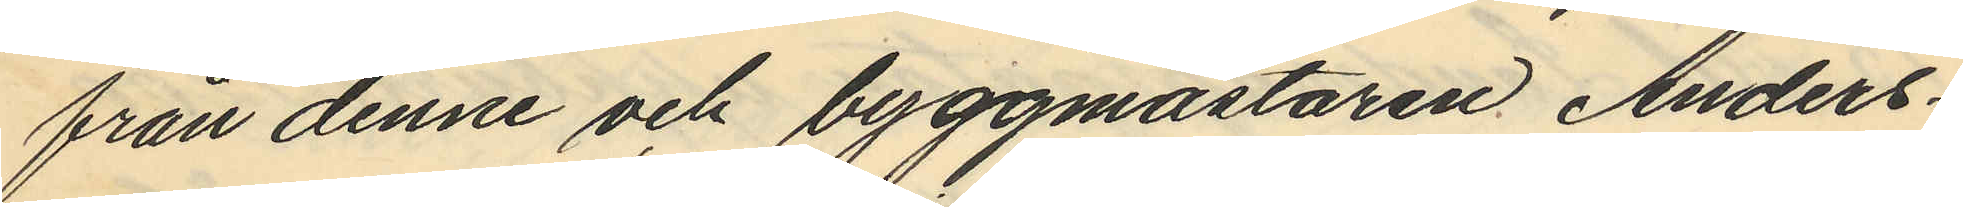från denne och byggmästaren Anders¬
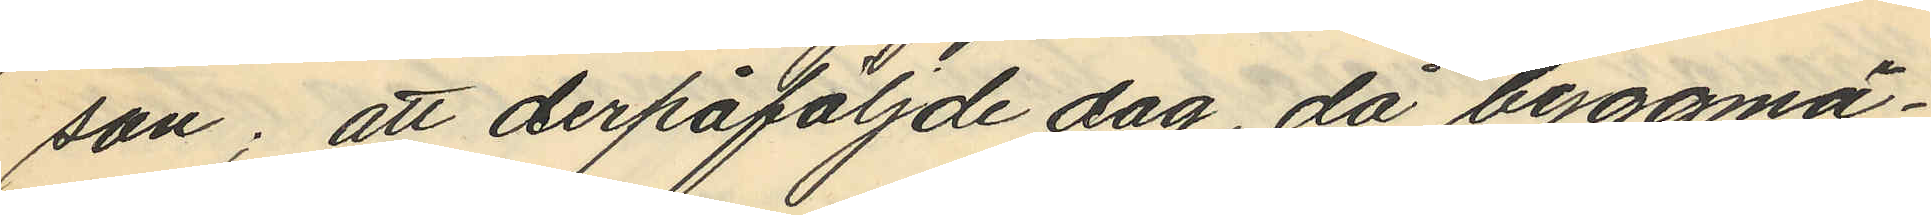son; att derpåföljde dag, då byggmä¬
